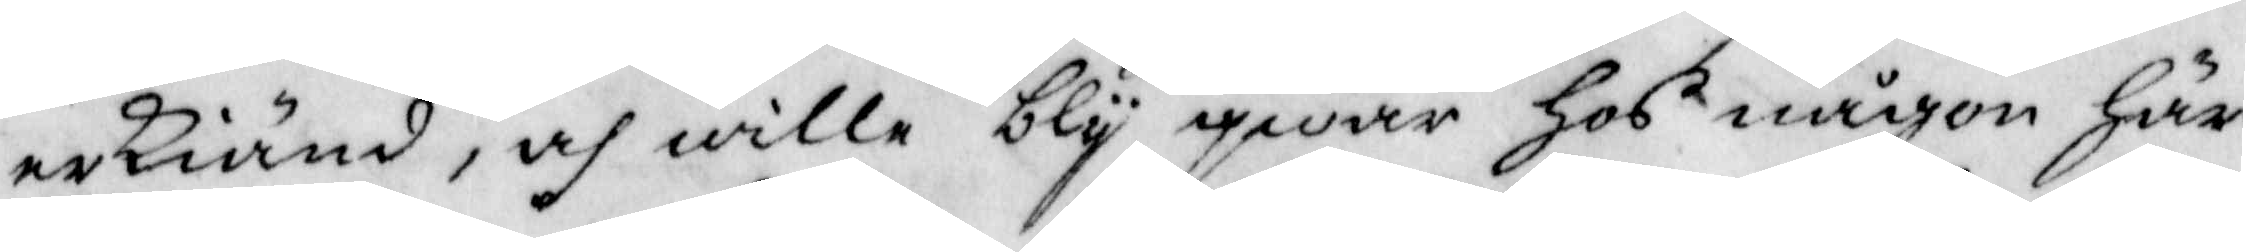erkiänd, och wille bly qwar hos någon Här
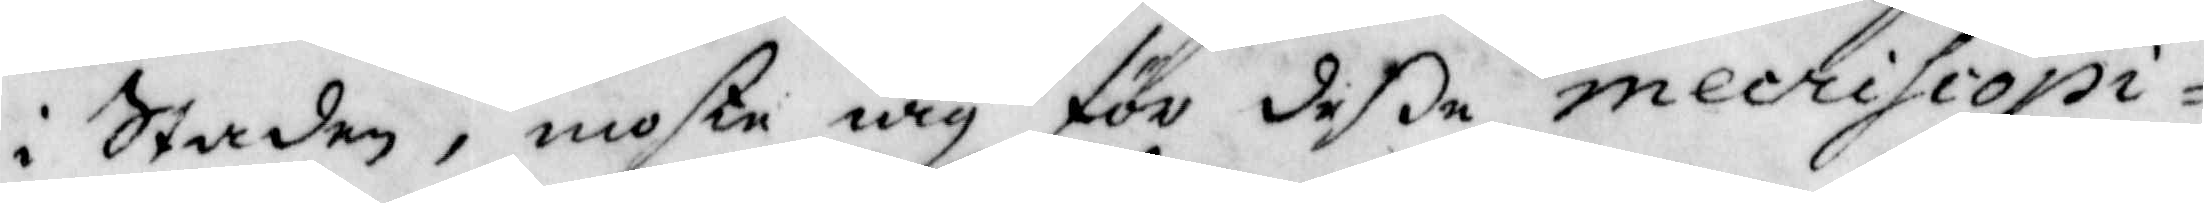i Staden, moste iag för deße mecrihiopi¬
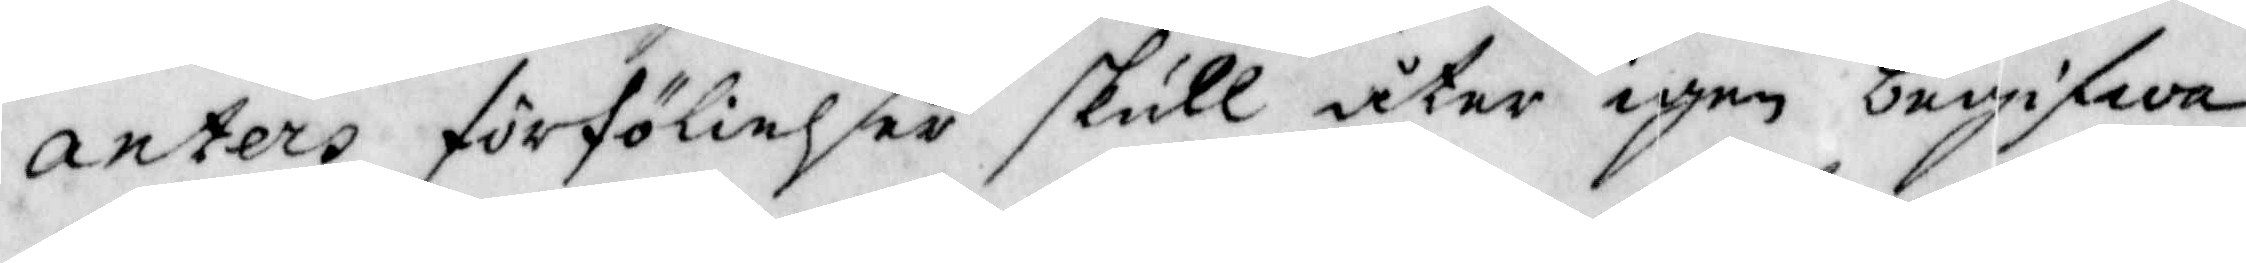anters förfölielser skull åter igen begifwa
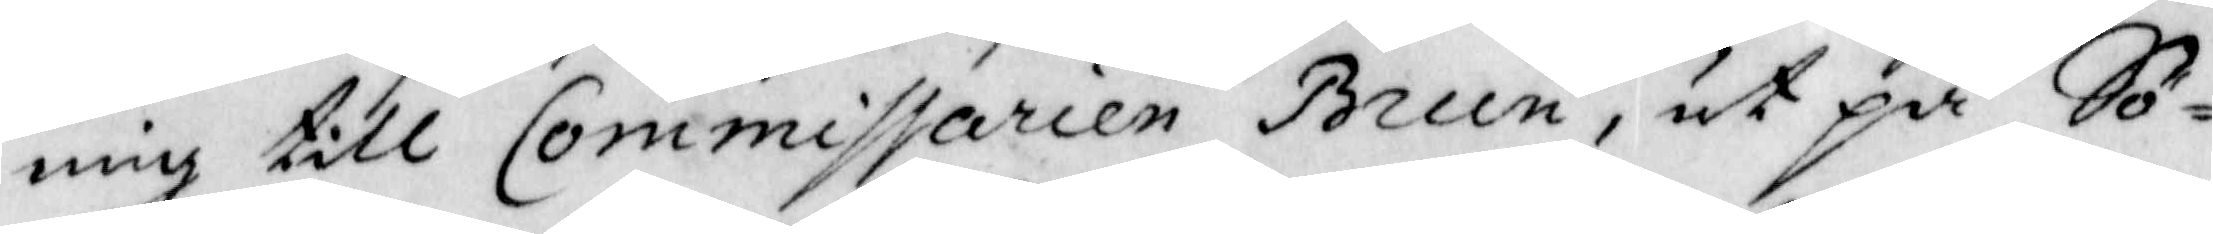mig till Commissarien Brun, ut på Sö¬
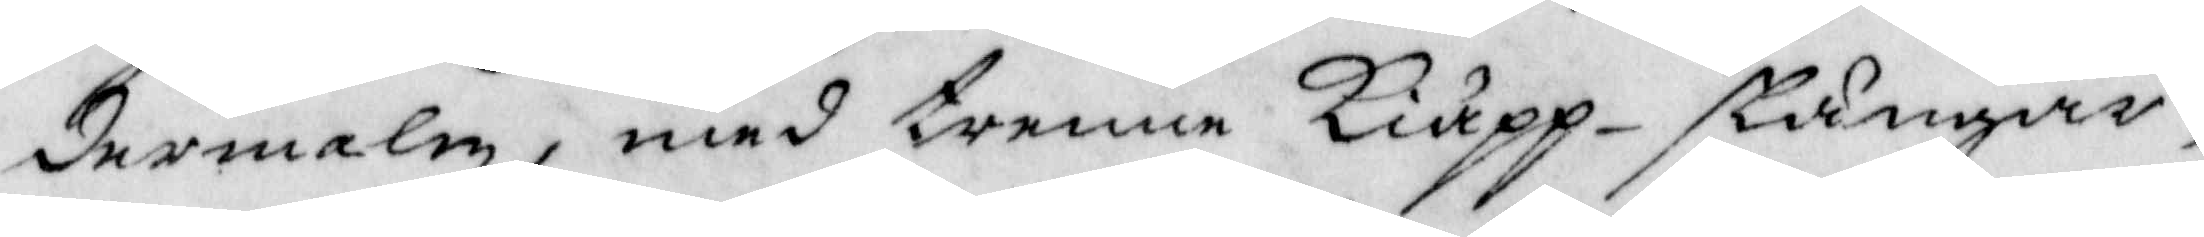dermalm, med trenne Kiäpp-stänger,
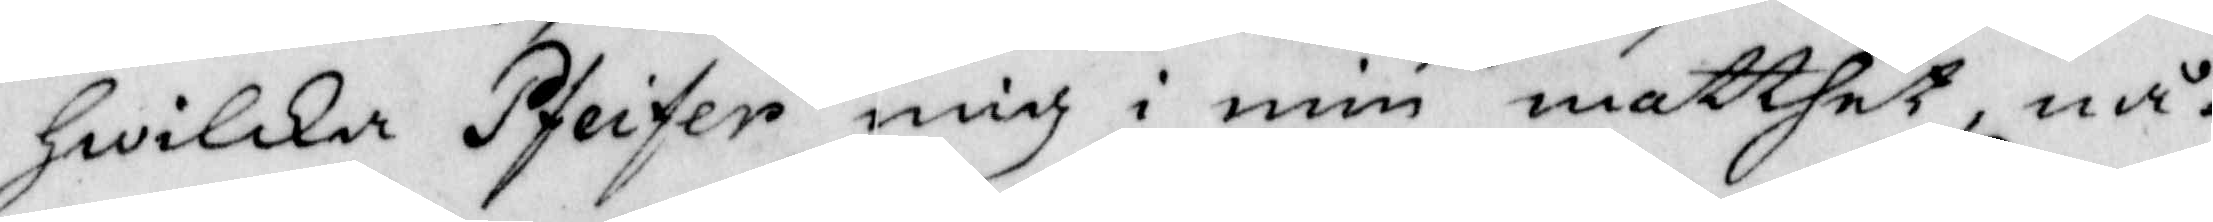Hwilken Pfeifer mig i min matthet, nå¬
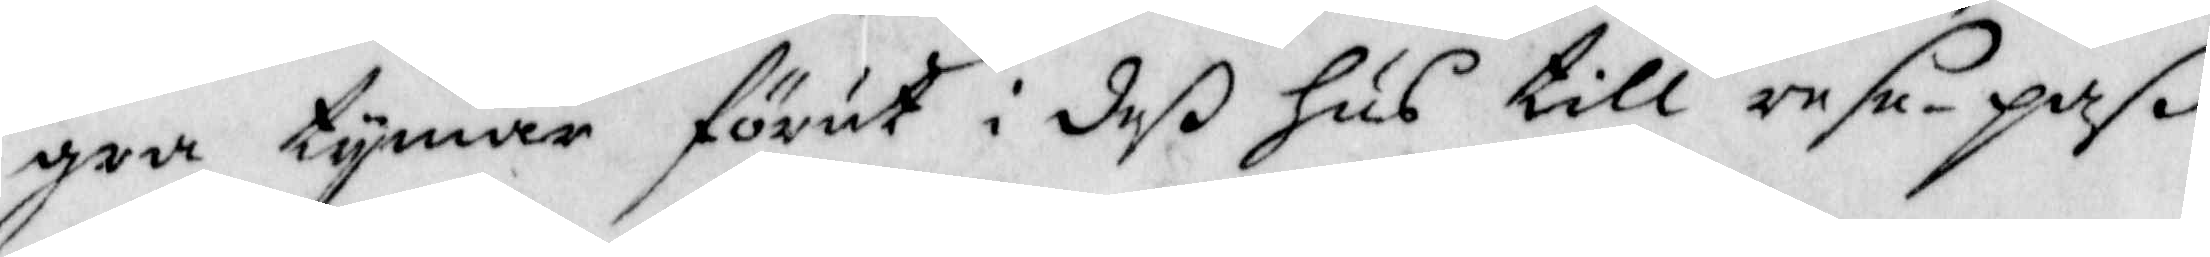gra tymar förut i deß Hus till rese.paß
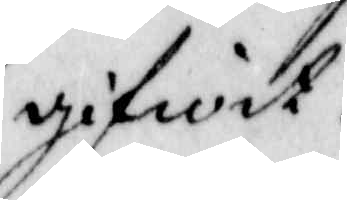gifwit.
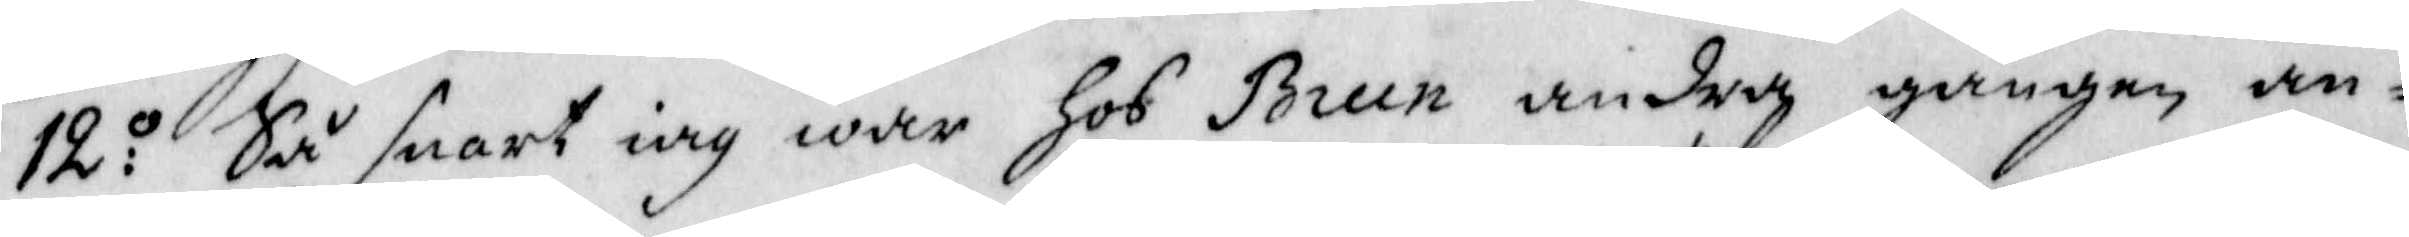12:o Så snart iag war hos Brun andra gången an¬
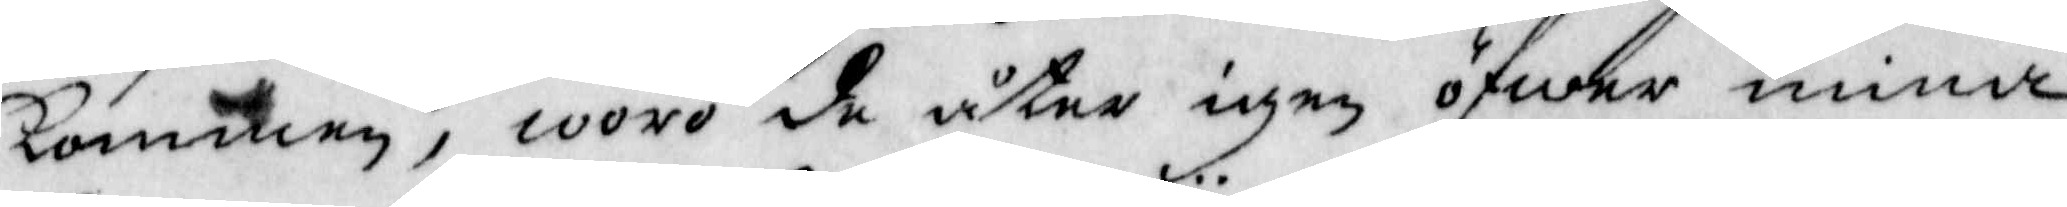kommen, woro de åter igen öfwer mina
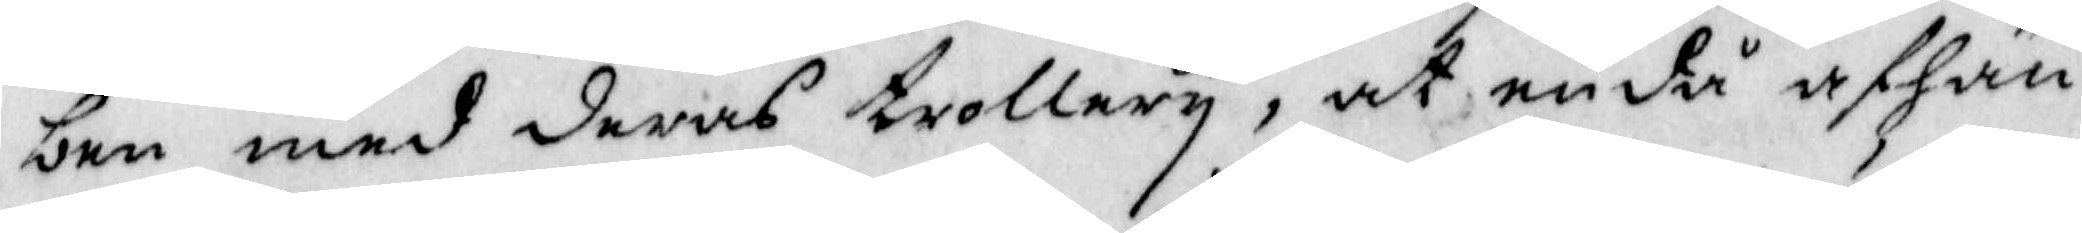ben med deras trollery, at endå afhän¬
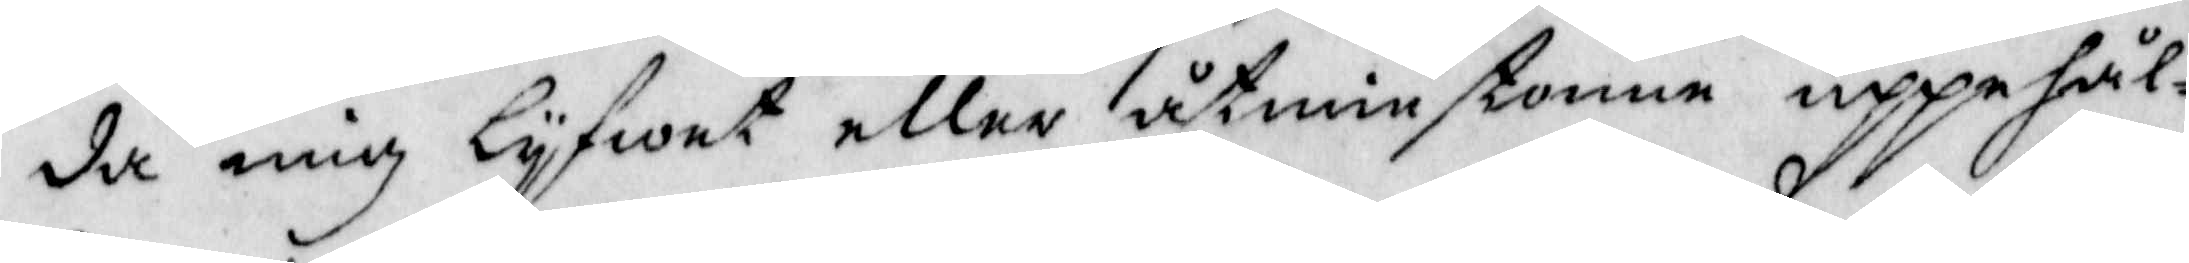da mig lyfwet eller åtminstone uppåhål¬
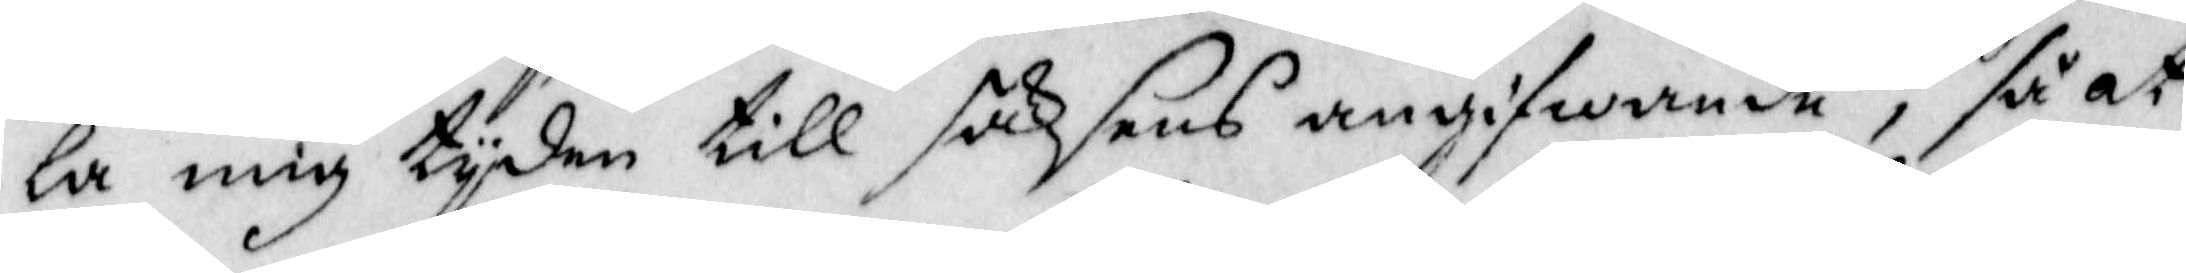la mig tyden till saksens angifwande, så at
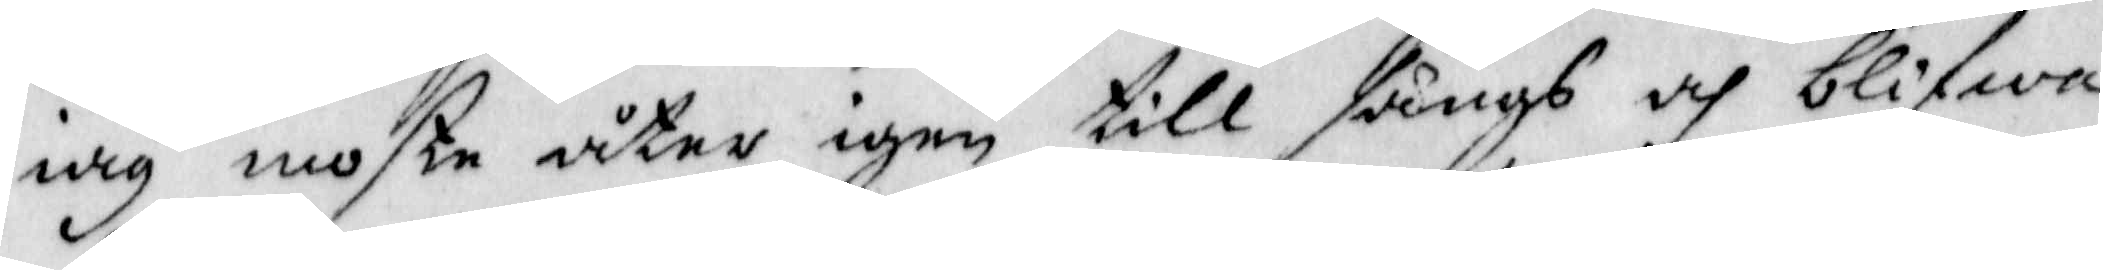iag moste åter ingen fångas och blifwa
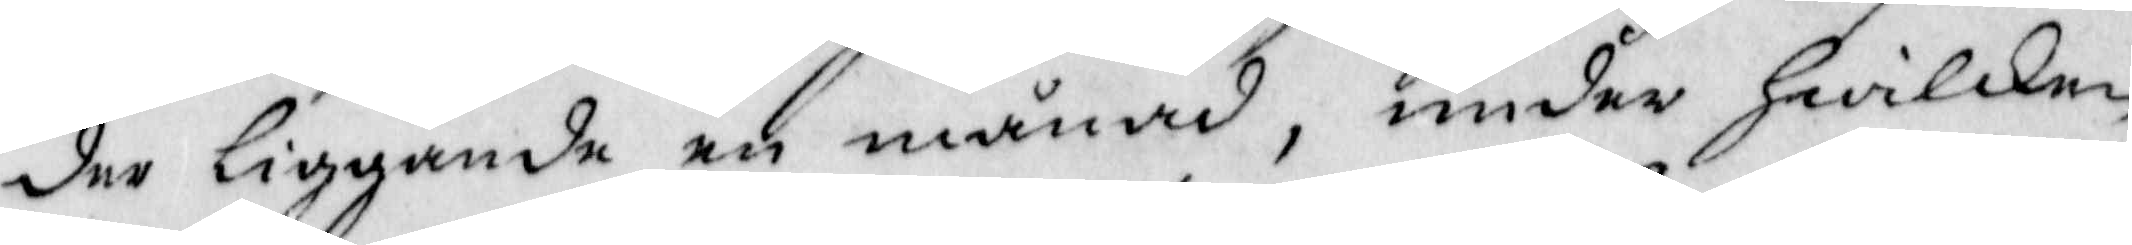der liggande en månad, under Hwilken
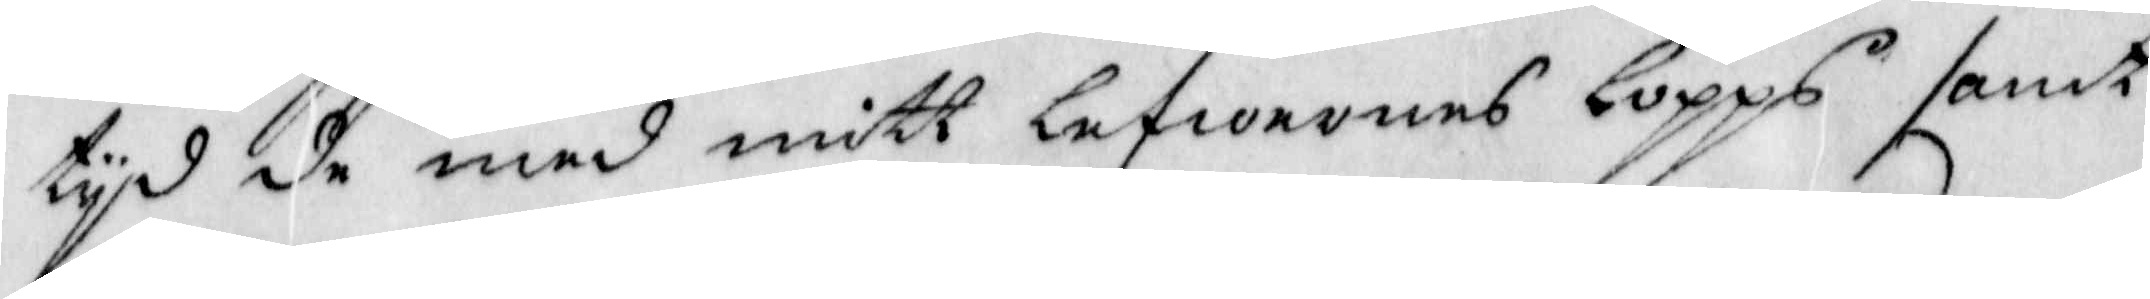tyd de med mitt lefwernes lopps samt
